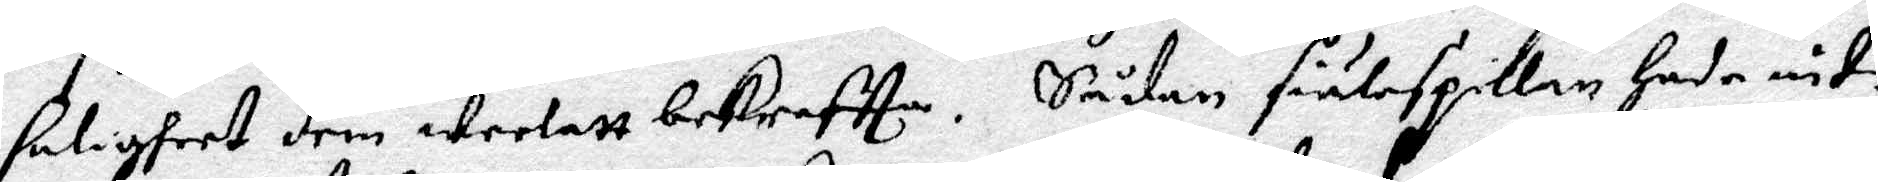saligheet dem weelatt bekrefta. Sådan siälspillan Hade intz
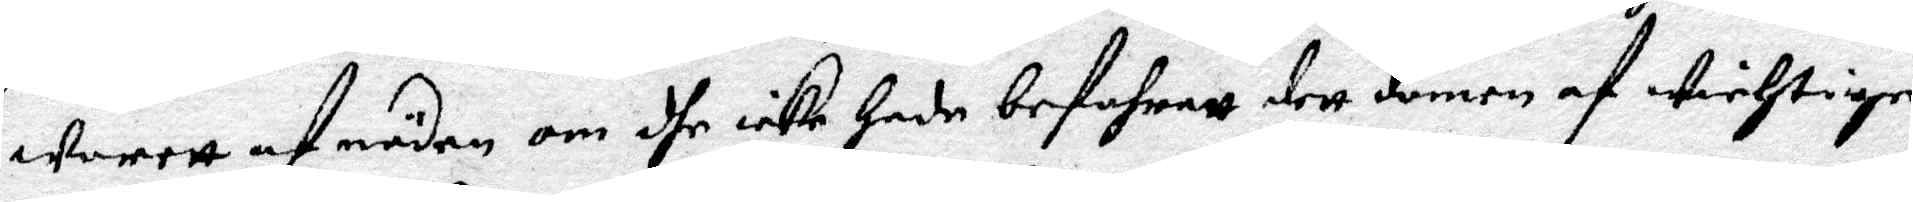worett af nöden om dhe icke Hade befarett dett domen af wichtige
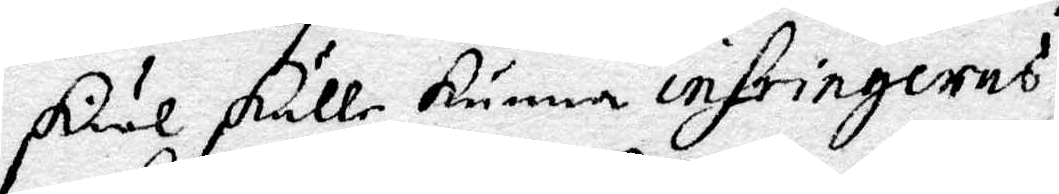skiäl skulle kunna infringeres.
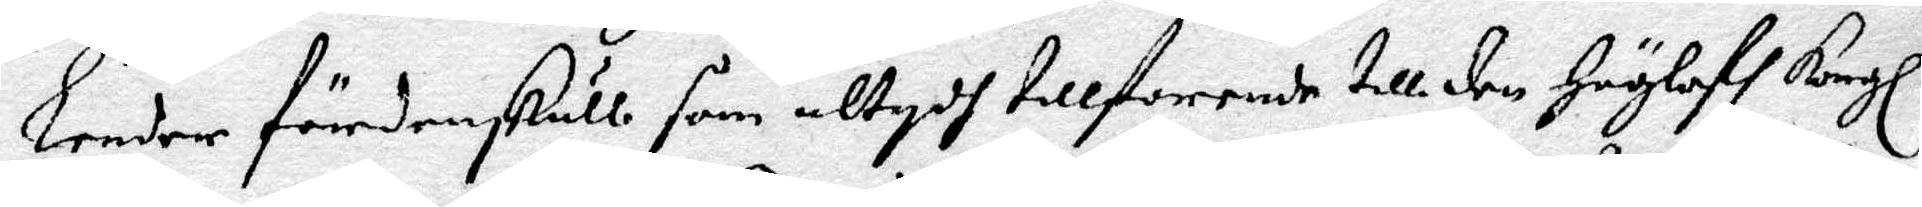Lender fördenskull som altydh tillforende till den Höglofl Kongl
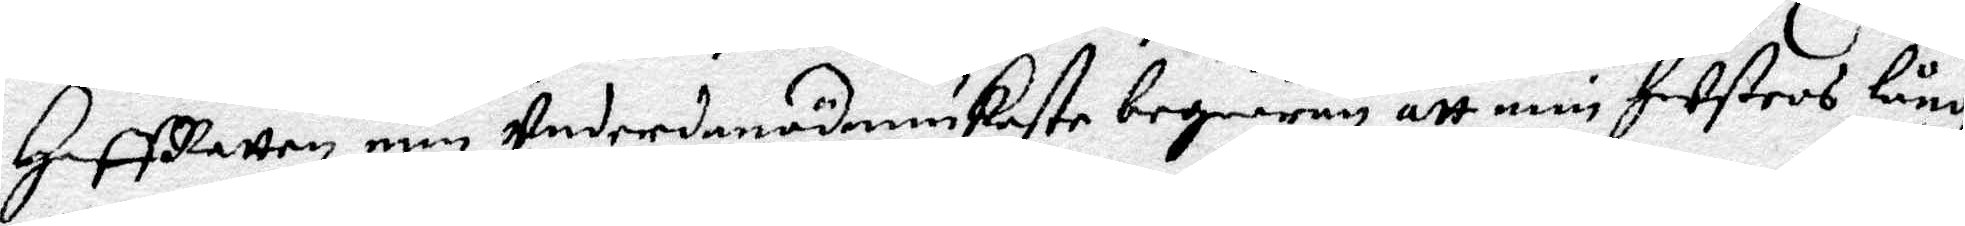HoffRätten min undernånödmiukaste begiäran att min Hustros lång¬
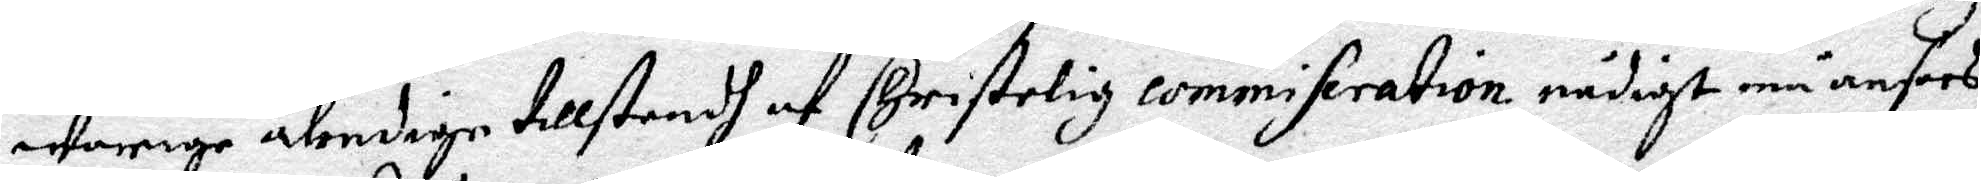warige älendige tillstendh af Christelig commiseration nådigst må ansees
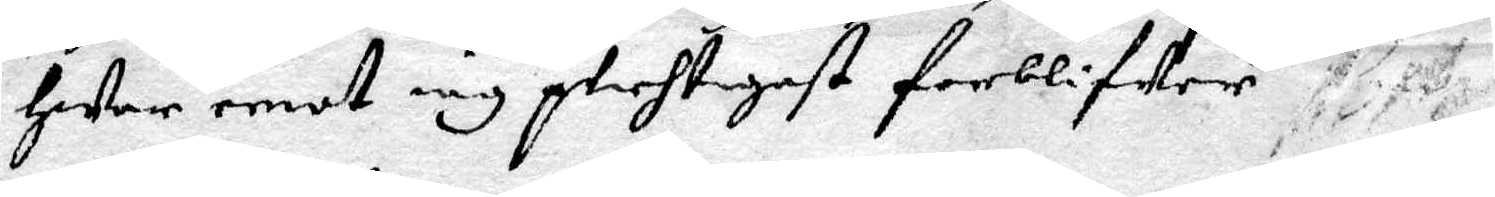Hwar emot iag plichtigast forblifer.
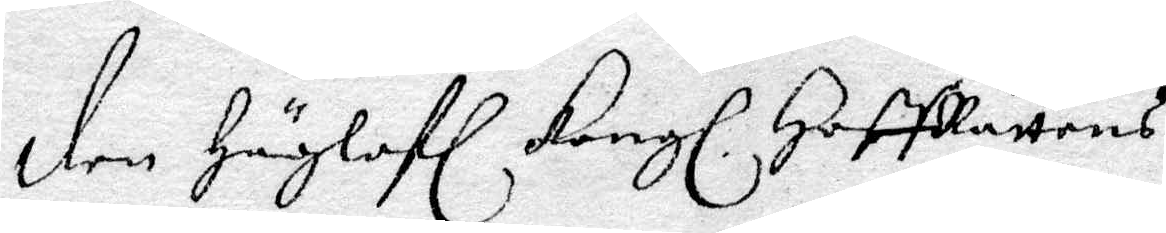den Höglofl Kongl HoffRättens
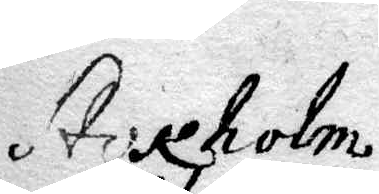Stocholm
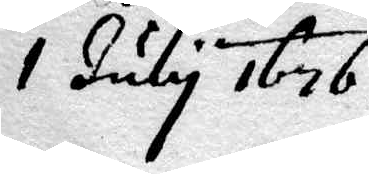1 July 1676.
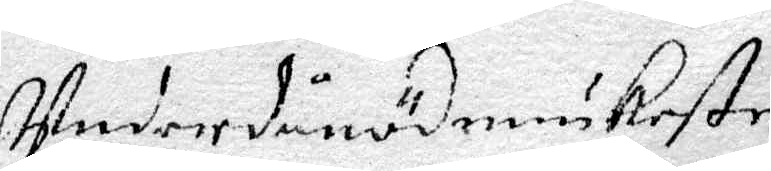Underdånödmiukaste
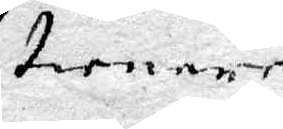tienare
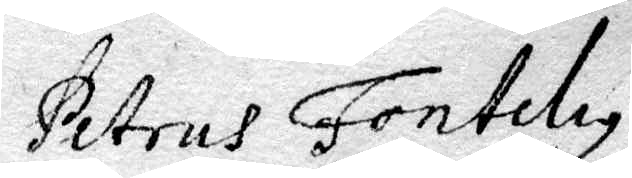Petrus Fonteliy
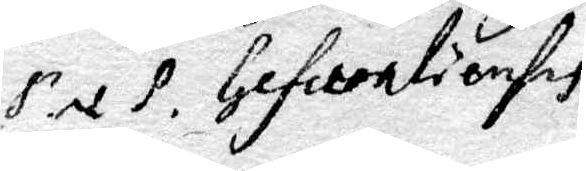P. et P. Gefelonlionsis
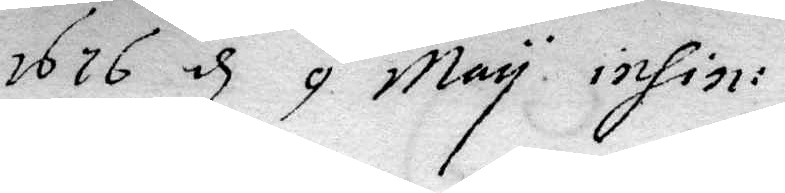1676 d 9 May inhin:
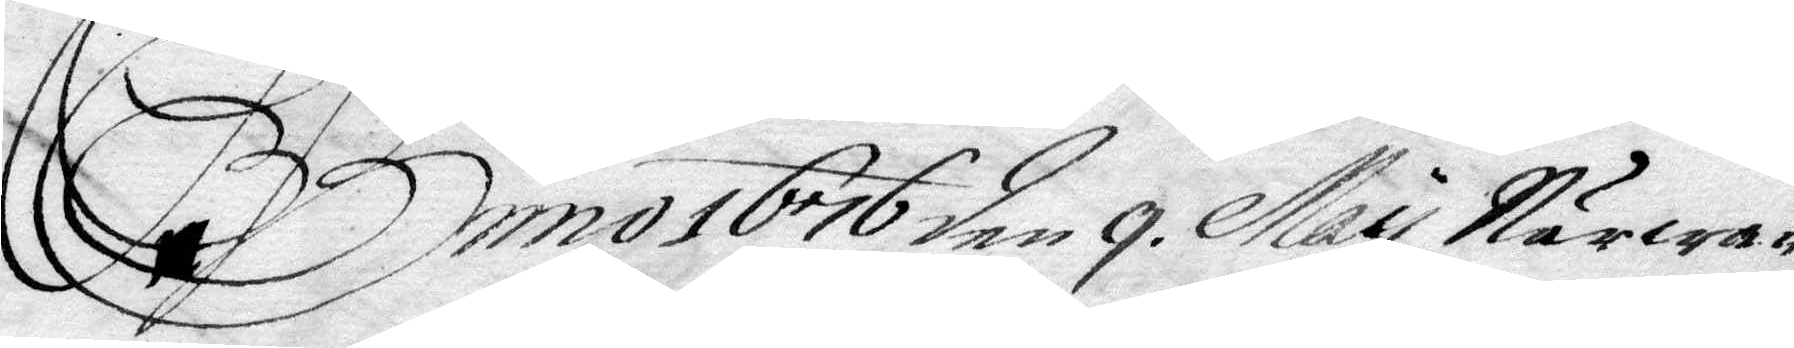Anno 1676 den 9 May Närwa¬
